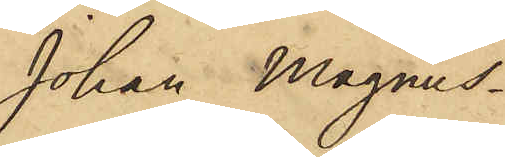Johan Magnus¬
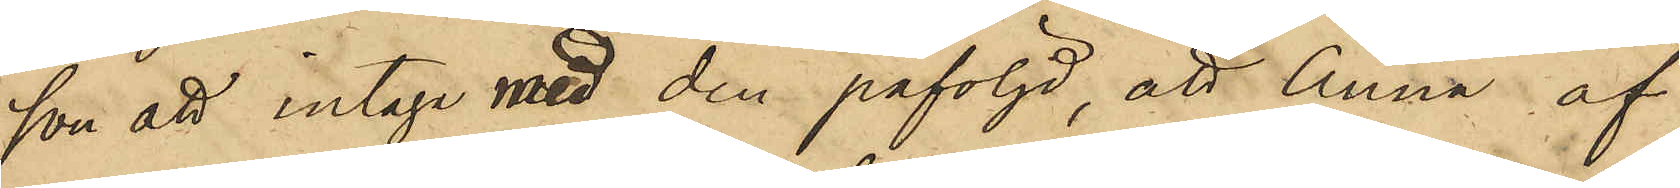son att intaga med den påföljd, att Anna af
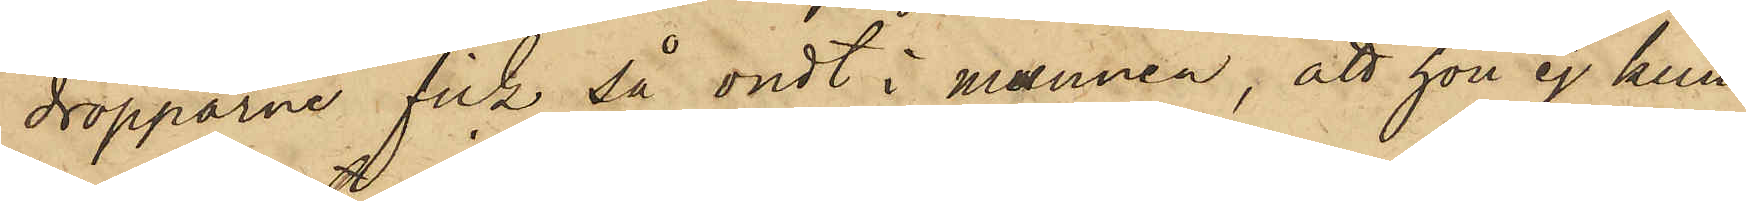dropparna fick så ondt i munnen; att hon ej kun¬
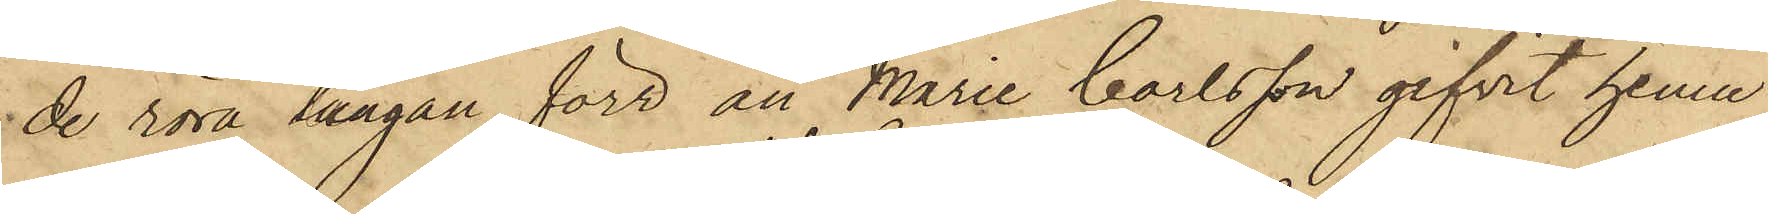de röra tungan, förr än Maria Carlsson gifvit henne
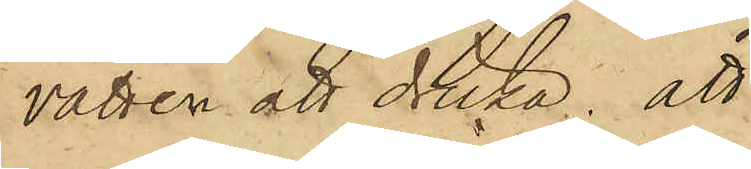vatten att dricka; att
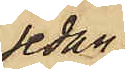sedan
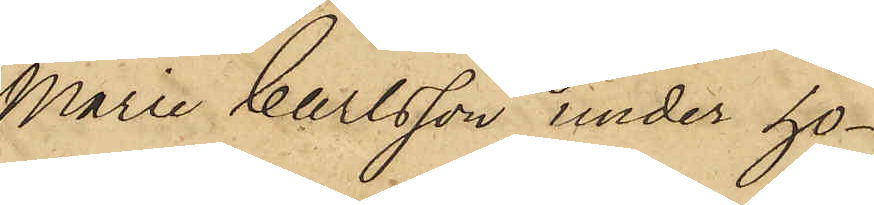Marie Carlsson under ho¬
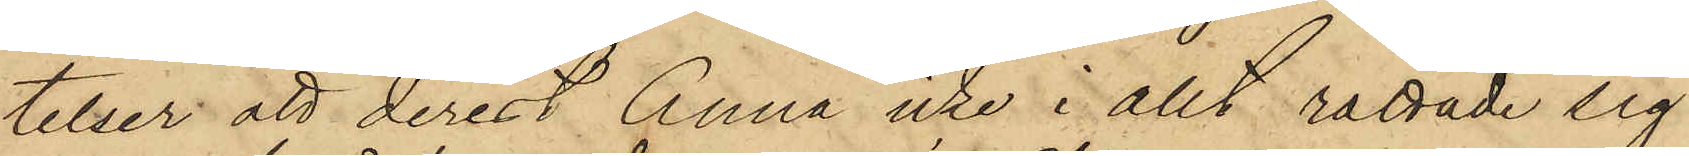telser att derest Anna icke i allt rättade sig
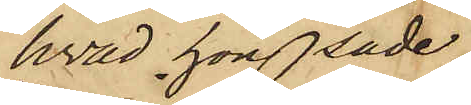hvad hon sade,
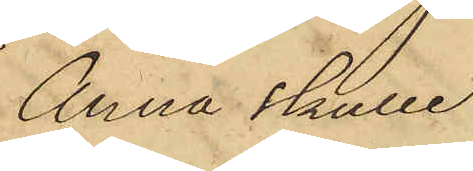Anna skulle
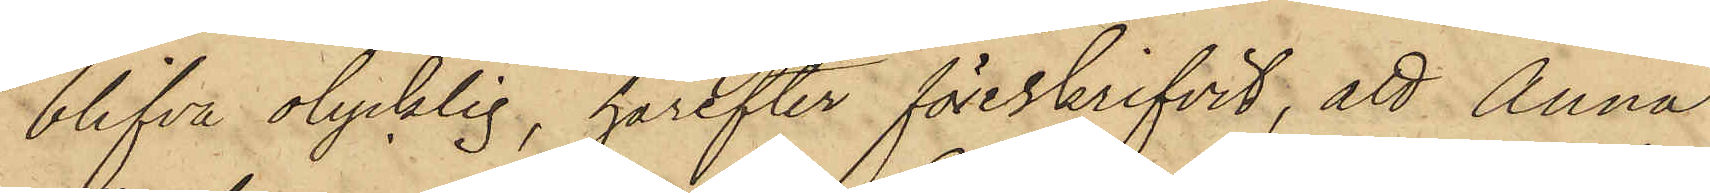blifva olycklig, härefter föreskrifvit, att Anna
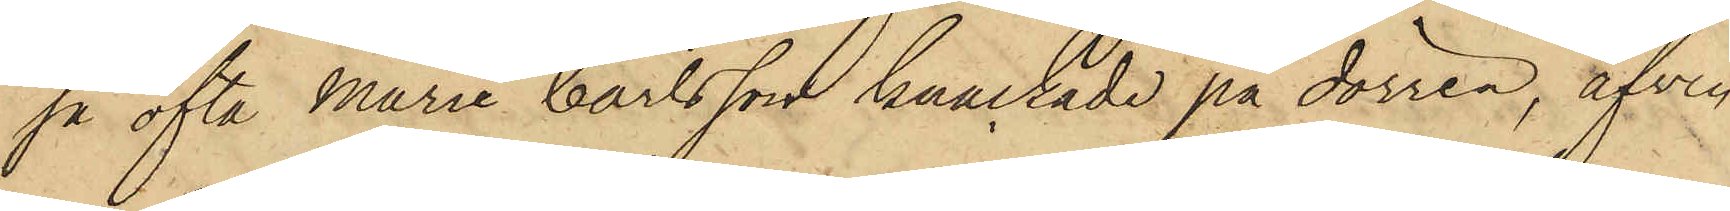så ofta Maria Carlsson knackade på dörren, äfven
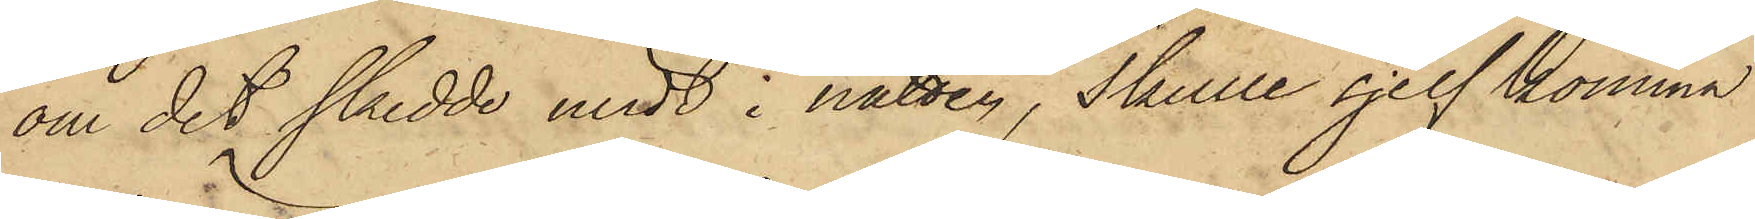om det skedde midt i natten, skulle sjelf komma
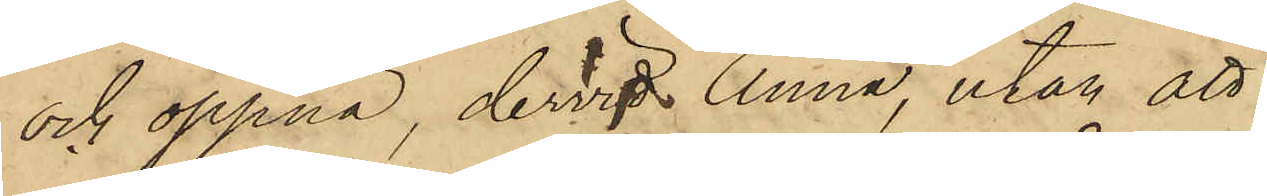och öppna, dervid Anna, utan att
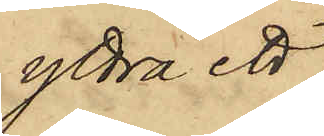yttra ett
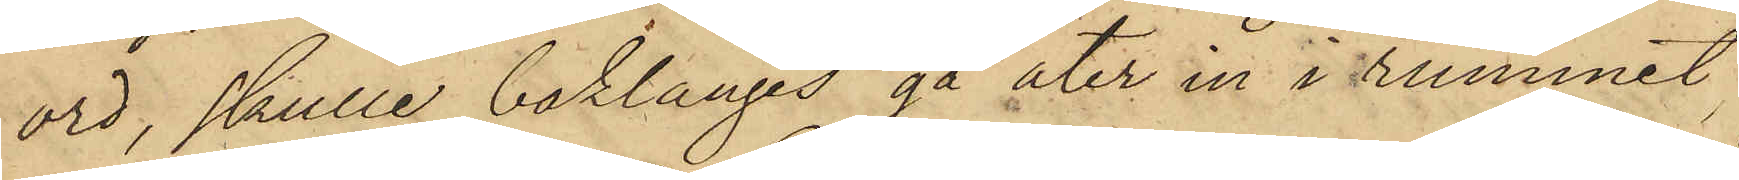ord, skulle baklänges gå åter in i rummet,
